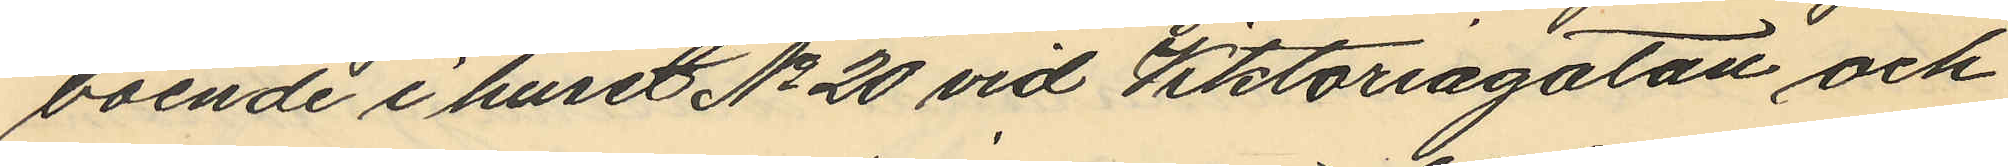boende i huset No 20 vid Viktoriagatan och
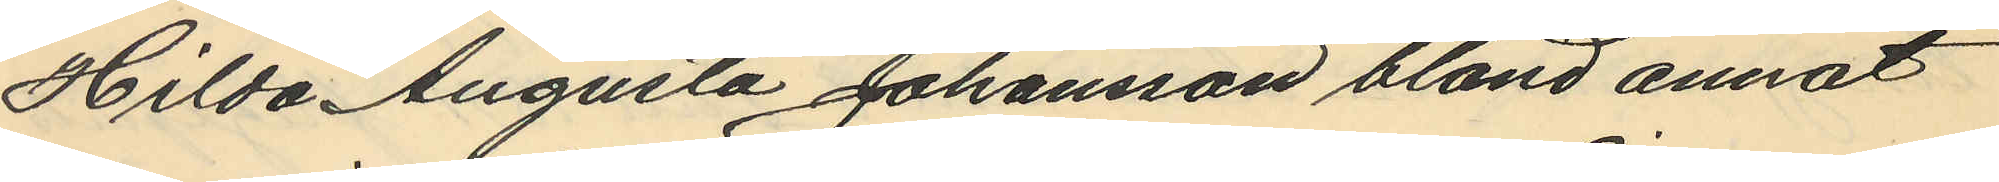Hilda Augusta Johansson bland annat
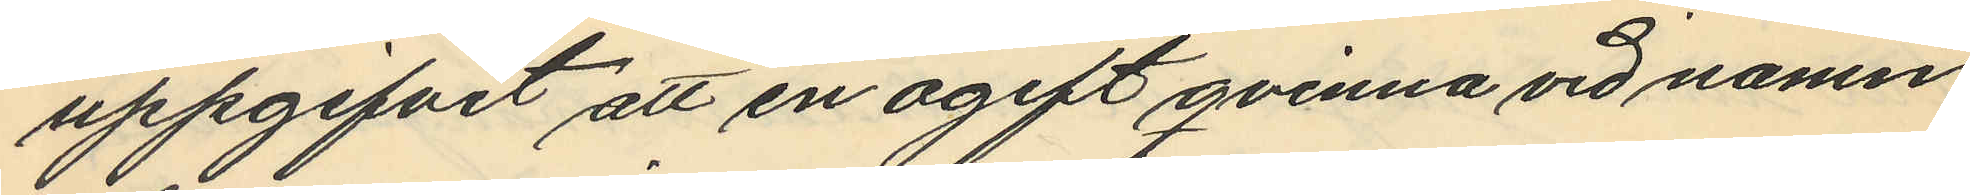uppgifvit att en ogift qvinna vid namn
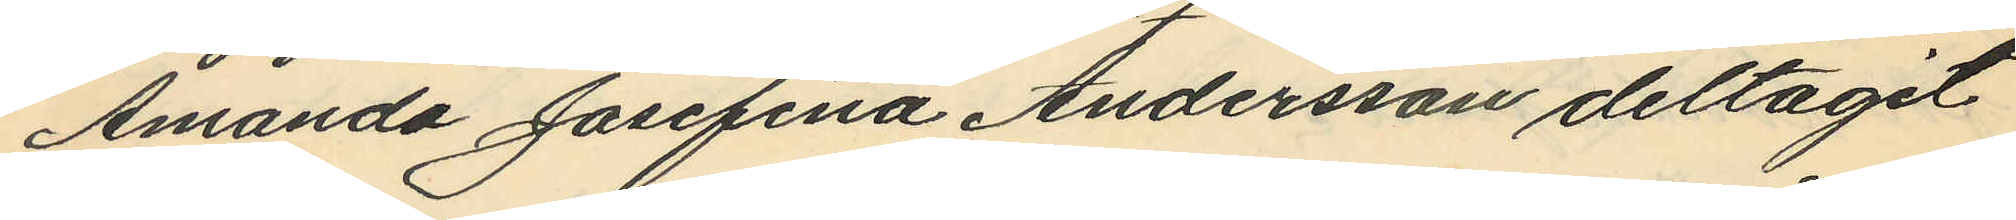Amanda Josefina Andersson deltagit
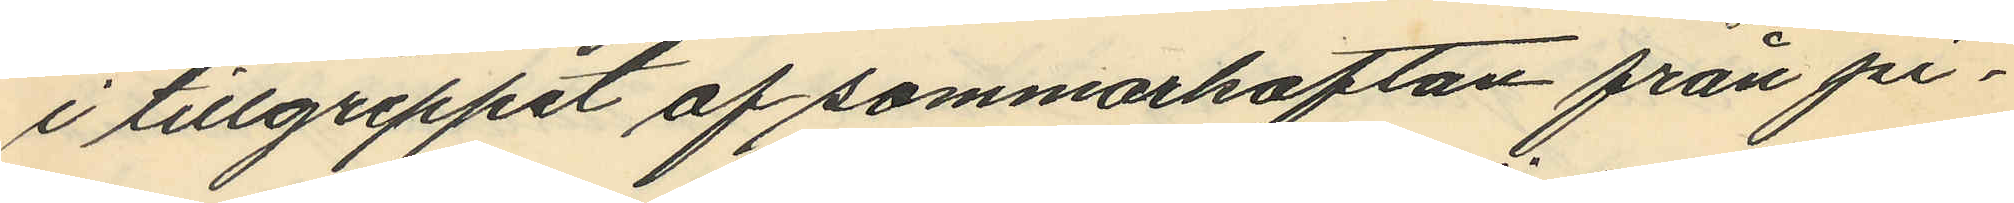i tillgreppet af sommarkoftan från pi¬
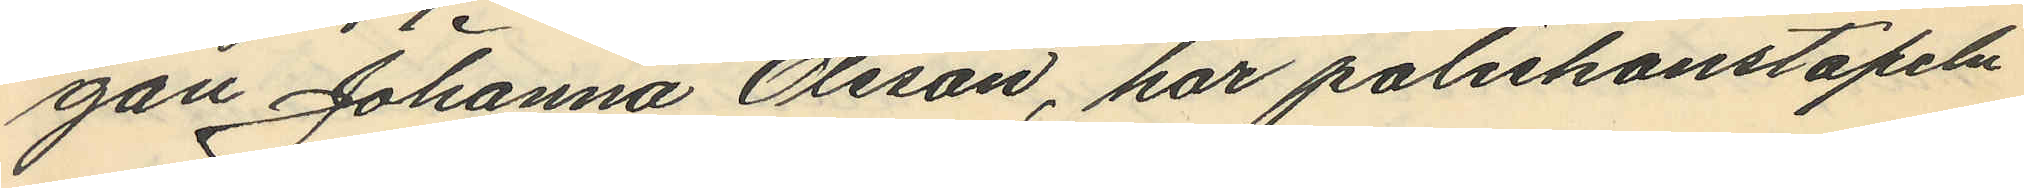gan Johanna Olsson, har poliskonstapeln
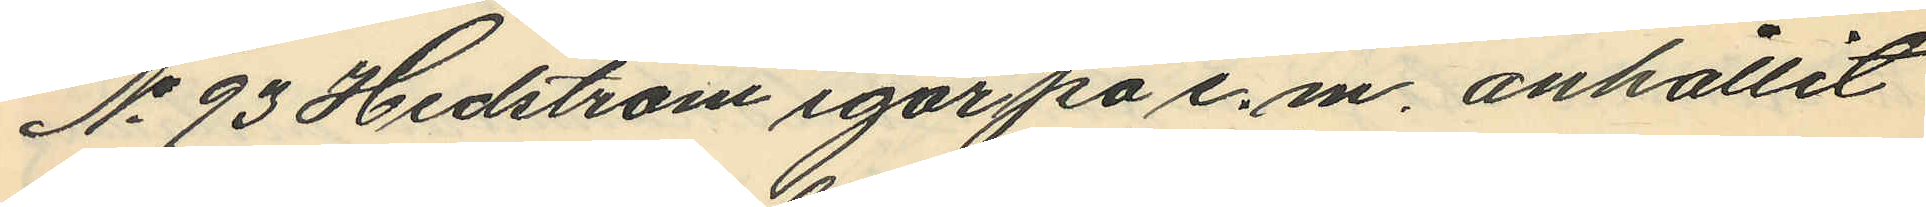No 93 Hedström igår pa e. m., anhållit
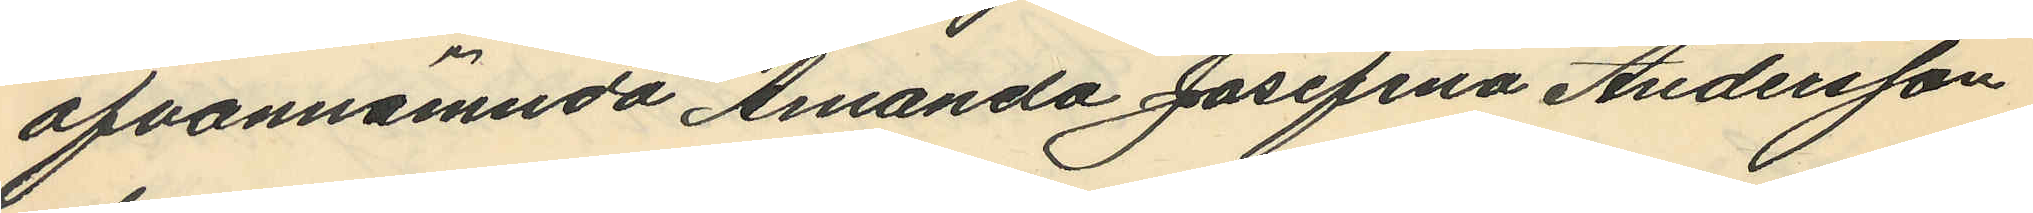ofvannämnda Amanda Josefina Andersson
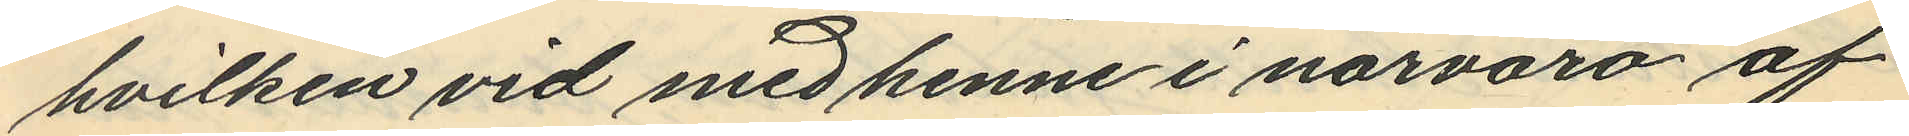hvilken vid med henne i närvaro af
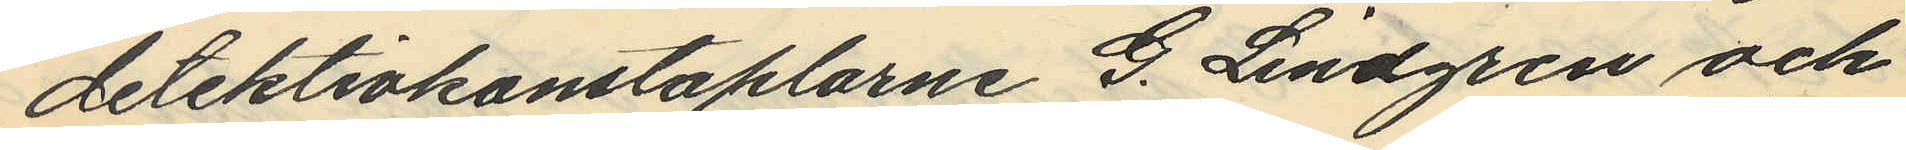detektivkonstaplarne G. Lindgren och
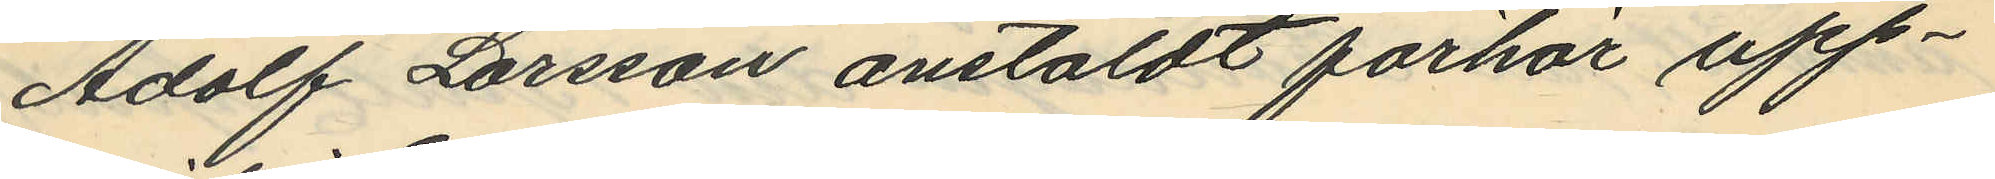Adolf Larsson anstäldt förhör upp¬
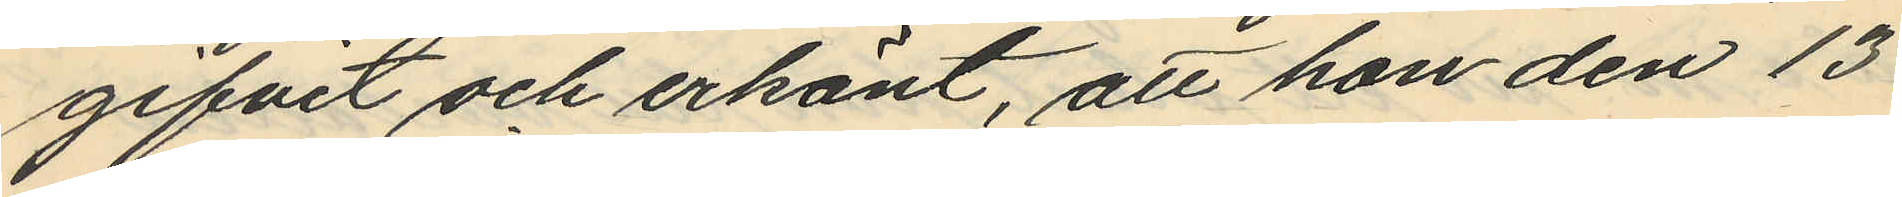gifvit och erkänt, att hon den 13
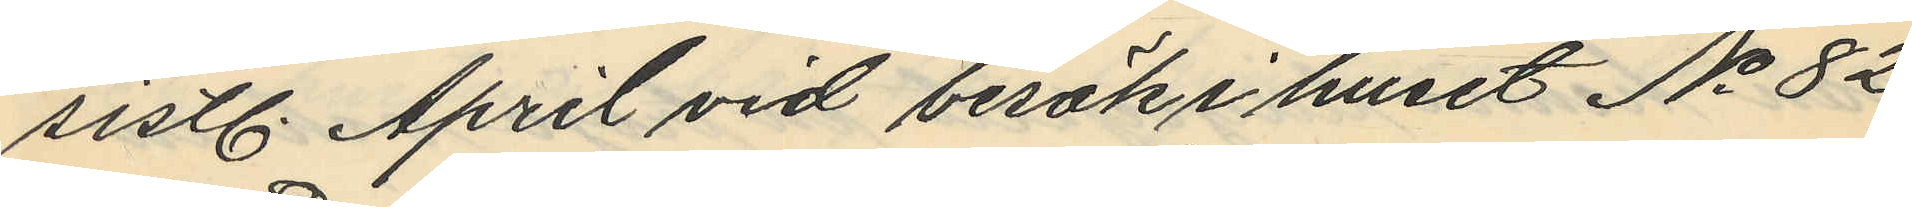sistl. April vid besök i huset No 82
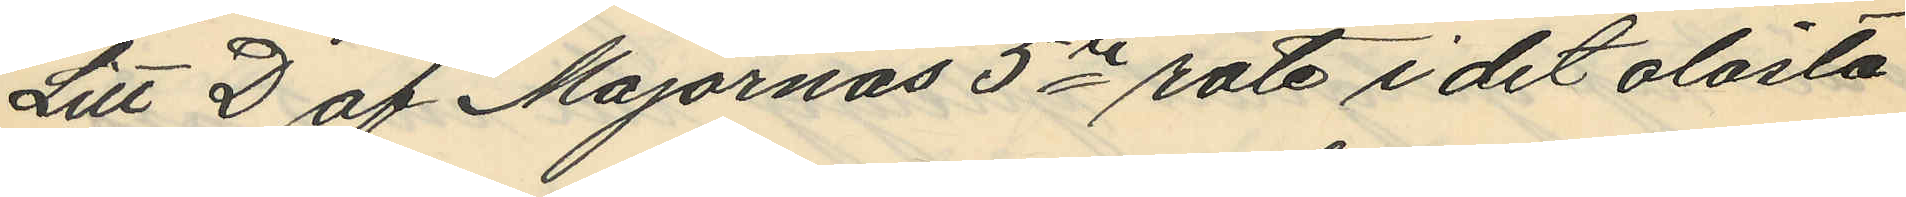Litt D af Majornas 5te rote i det olåsta
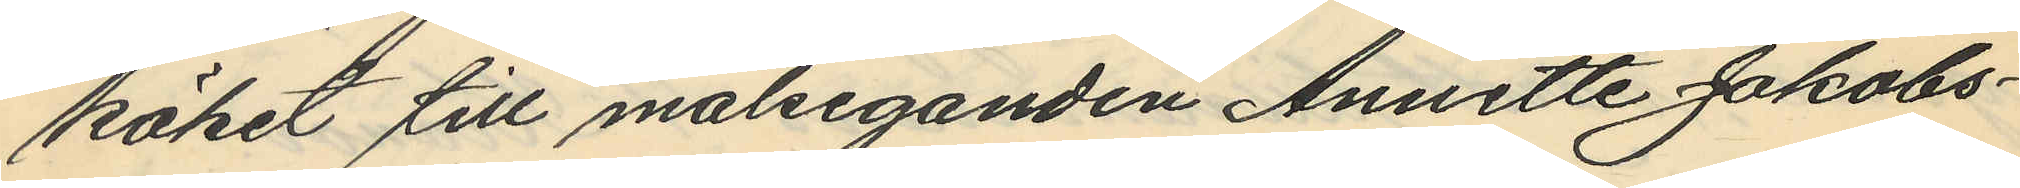köket till målseganden Annette Jakobs¬
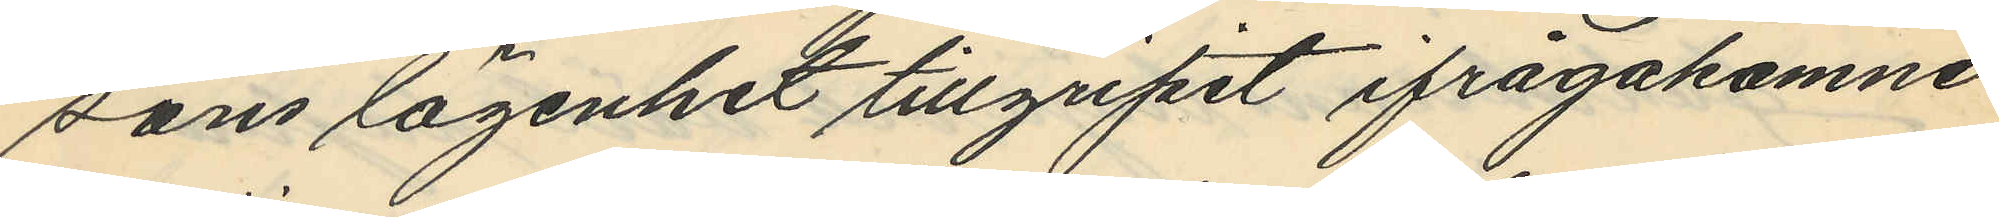sons lägenhet tillgripit ifrågakomne
